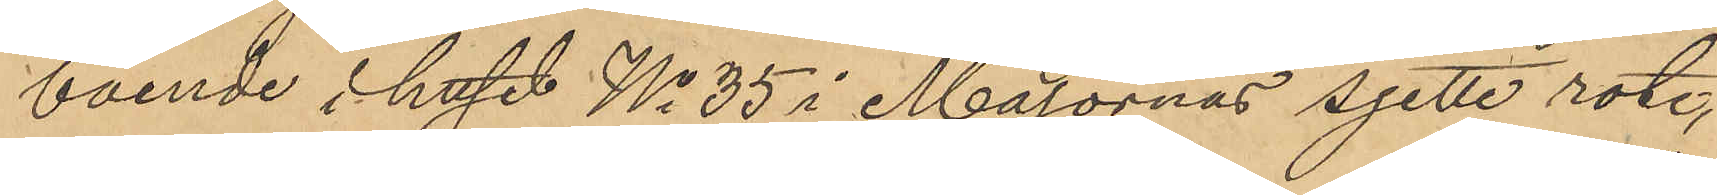boende i huset No 35 i Majornas sjette rote,
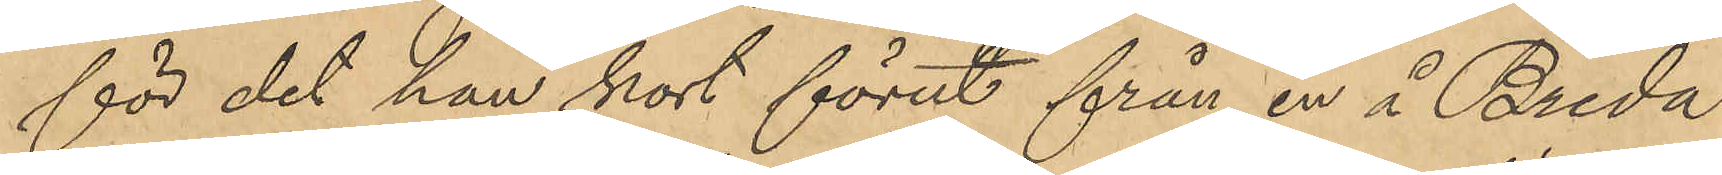för det han kort förut från en å Breda
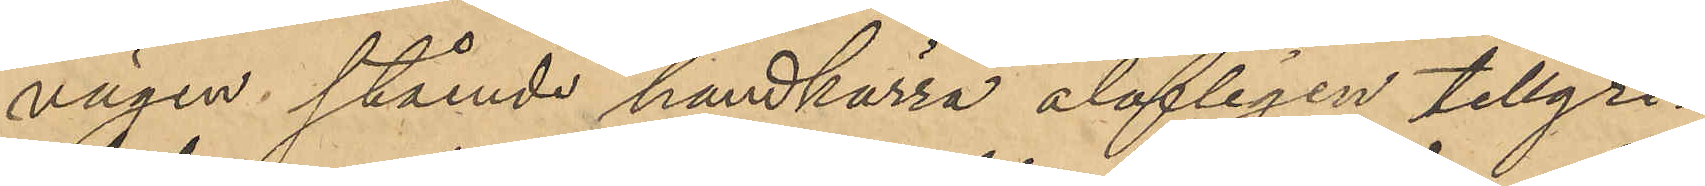vägen stående handkärra olofligen tillgri¬
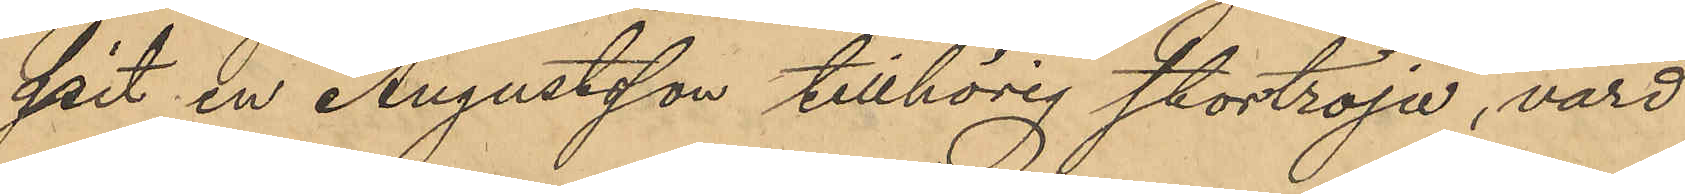pit en Augustsson tillhörig stortröja, värd
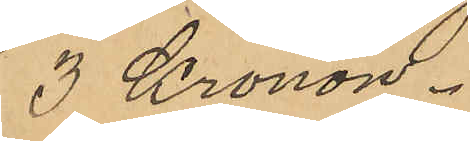3 Kronor.
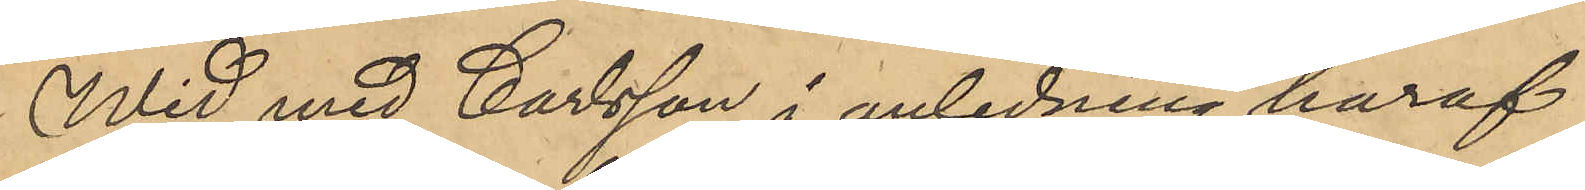Wid med Carlsson i anledning häraf
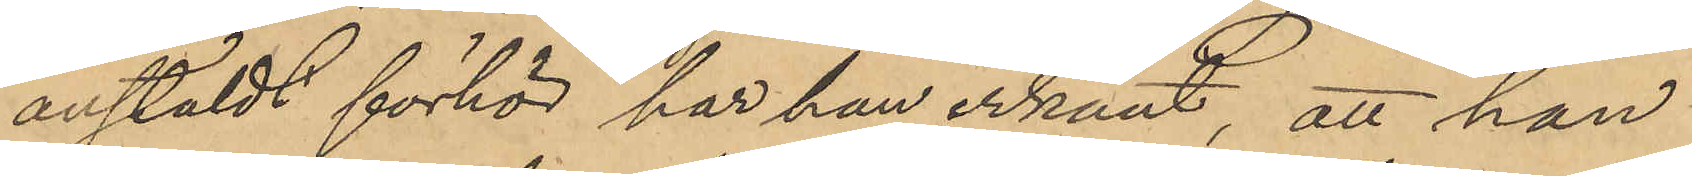anstäldt förhör har han erkänt, att han
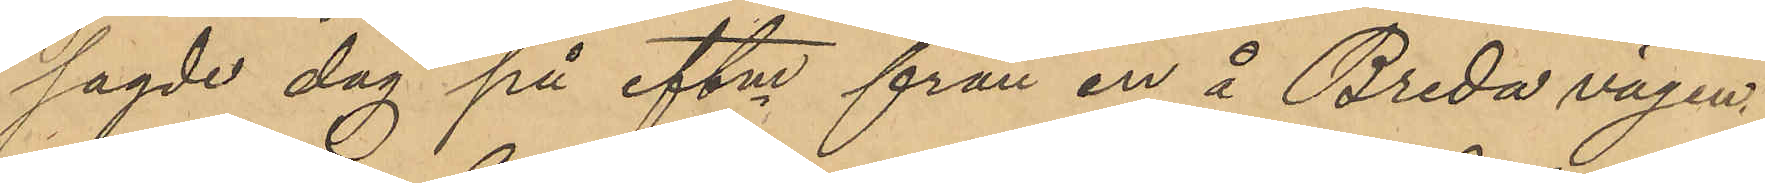sagde dag på eftm från en å Breda vägen
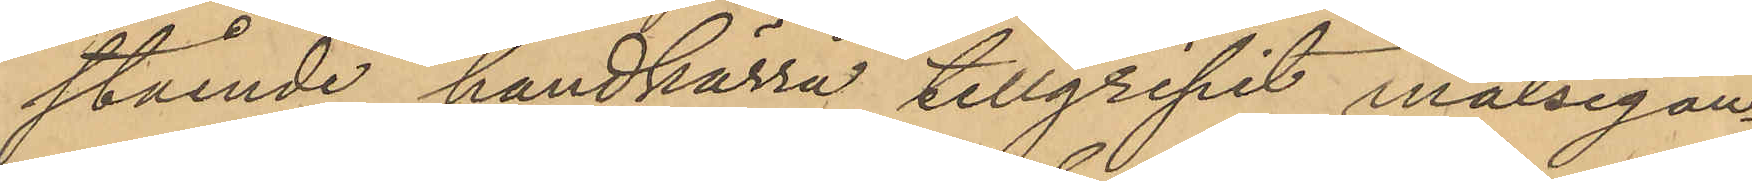stående handkärra tillgripit målsegan¬
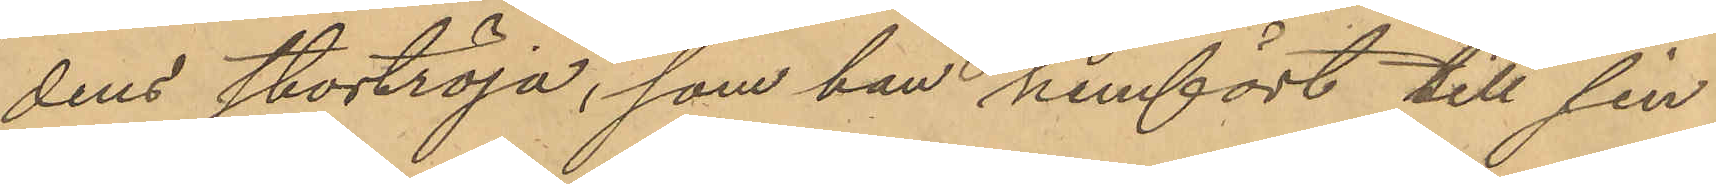dens stortröja, som han hemfört till sin
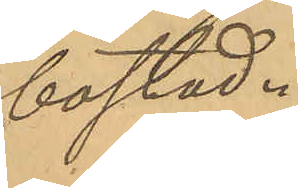bostad.
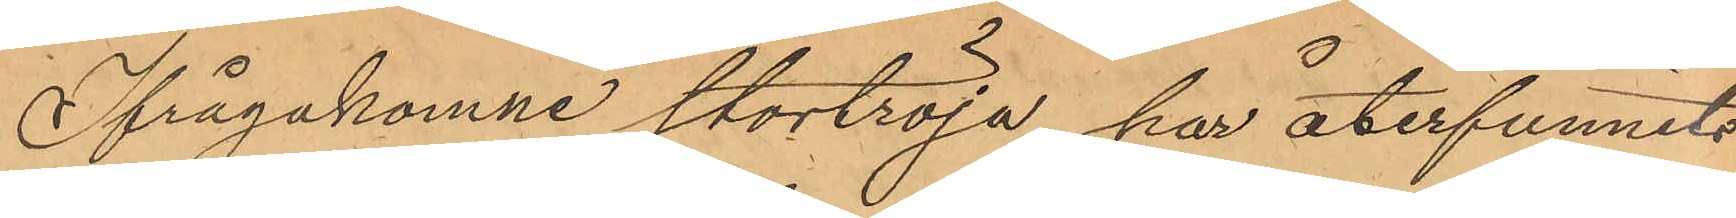Ifrågakomne stortröja har återfunnits
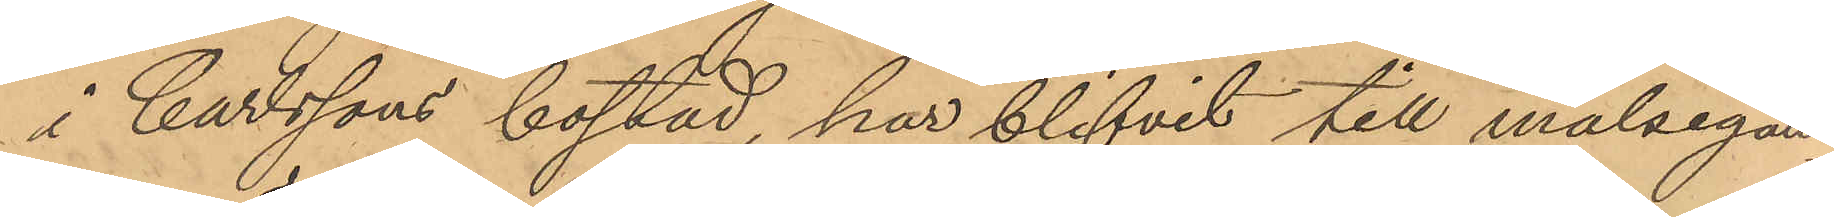å Carlssons bostad, har blifvit till målsegan¬
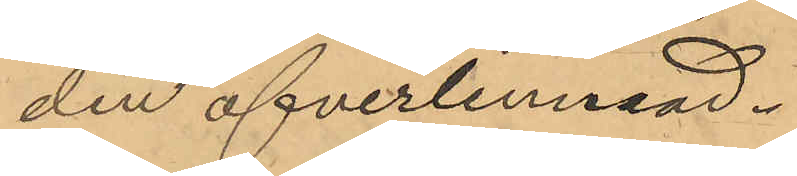den öfverlemnad.
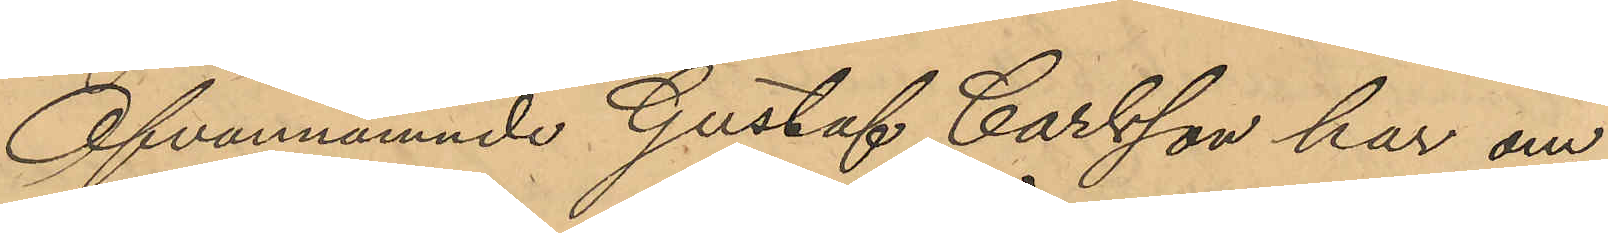Ofvannämnde Gustaf Carlsson har om
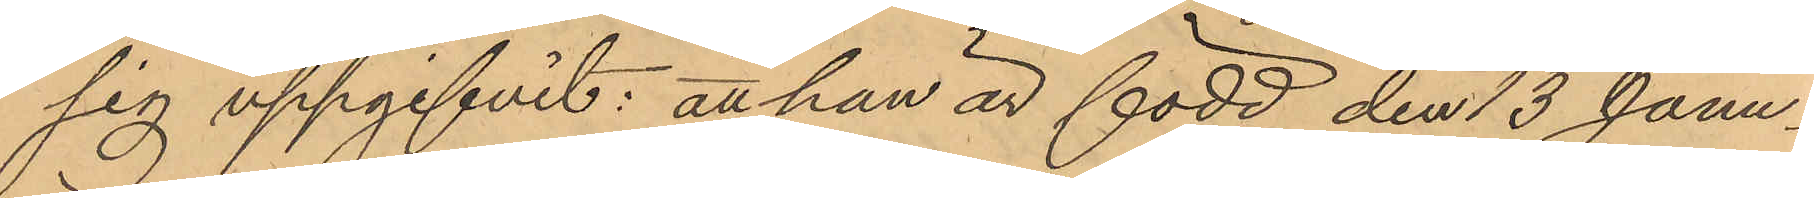sig uppgifvit: att han är född den 13 Janu¬
